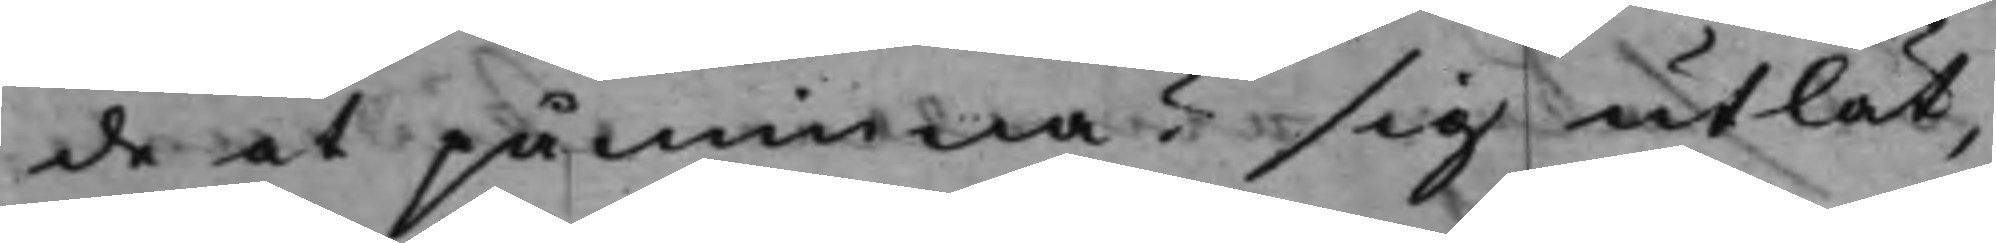de at påminna? sig utlät,
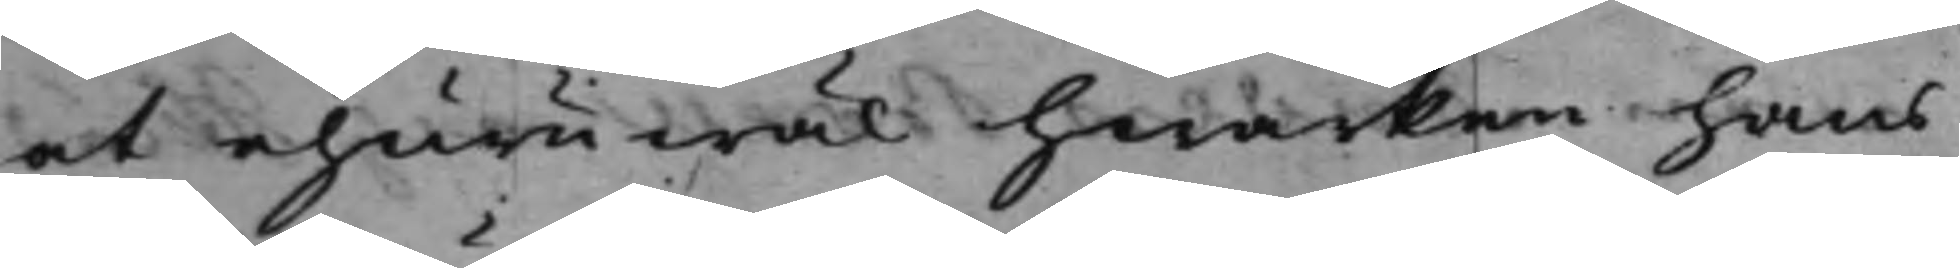at ehuruwäl hwarken hans
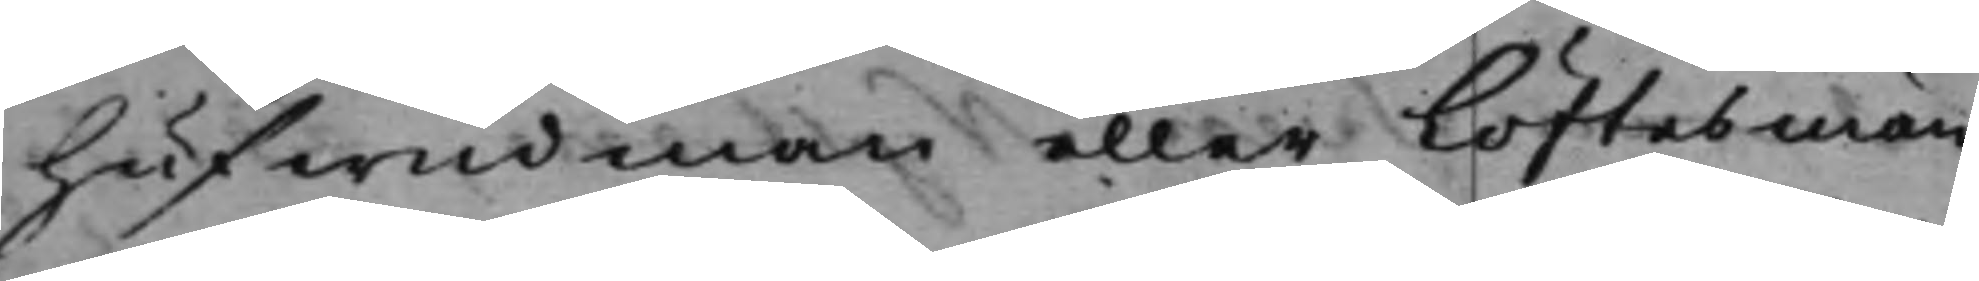hufwudman eller Löftesmän¬
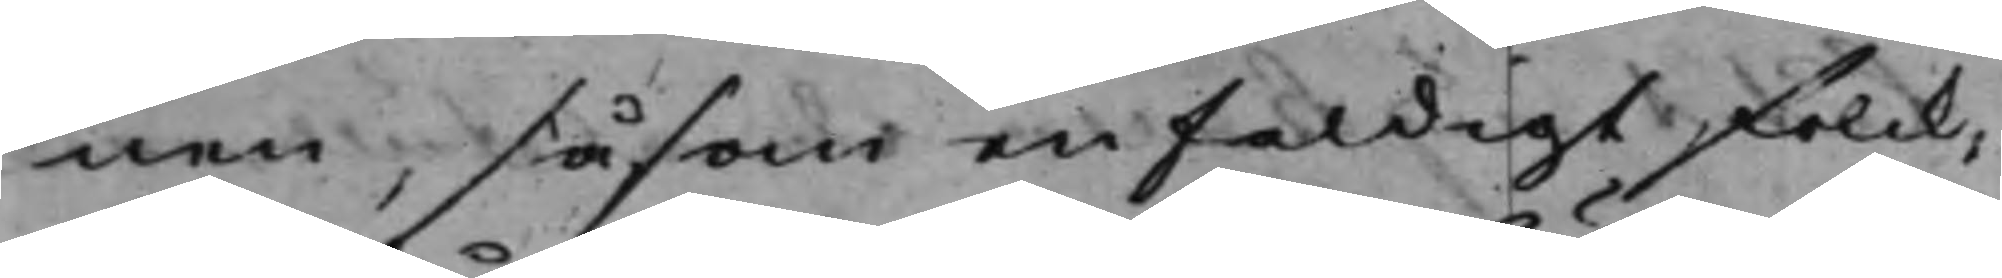nen, såsom enfildigt folck,
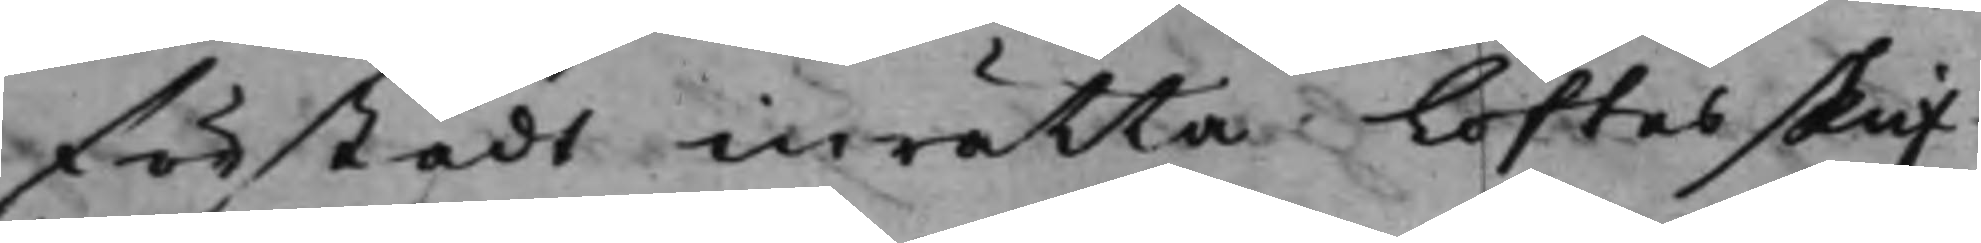förstådt inrätta Löftesskrif¬
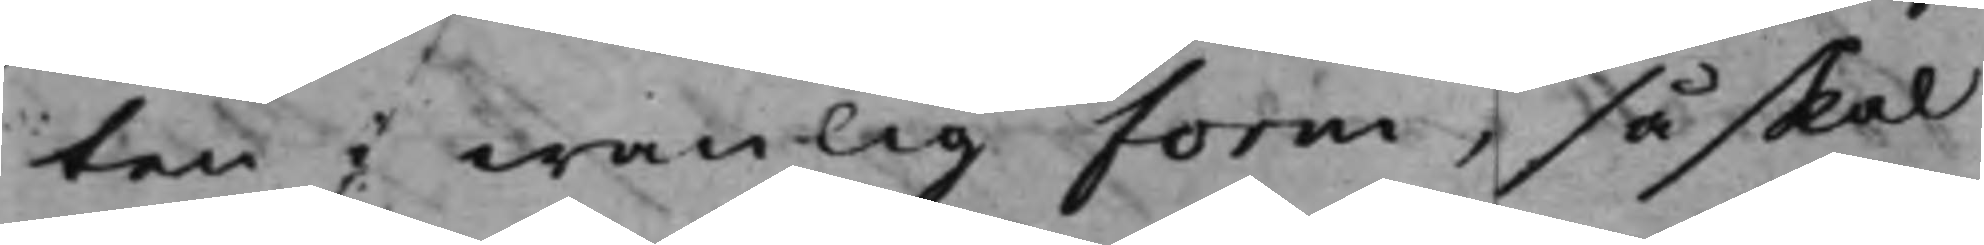ten i wanlig form, så skal
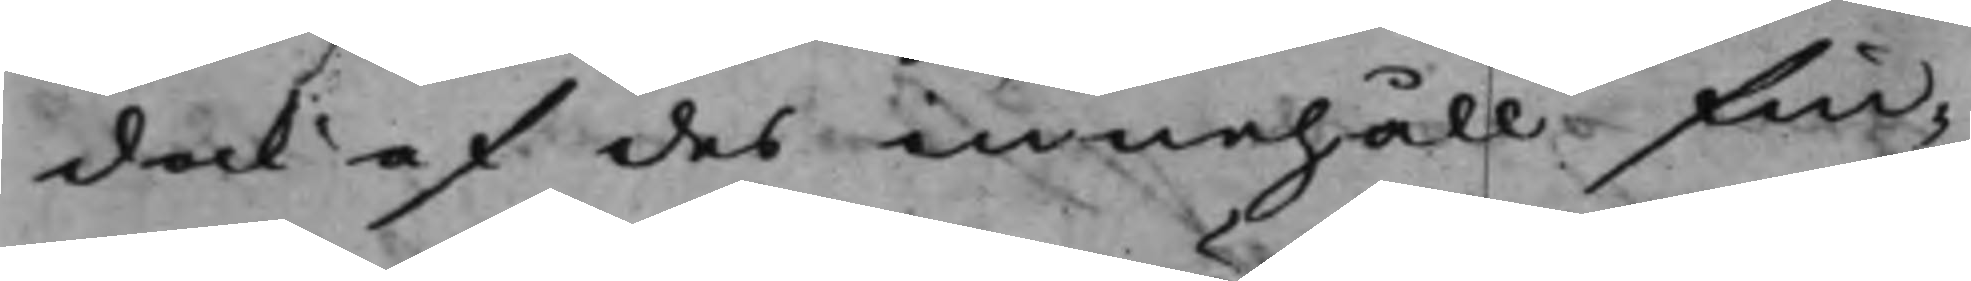dock af des innehåll fin¬
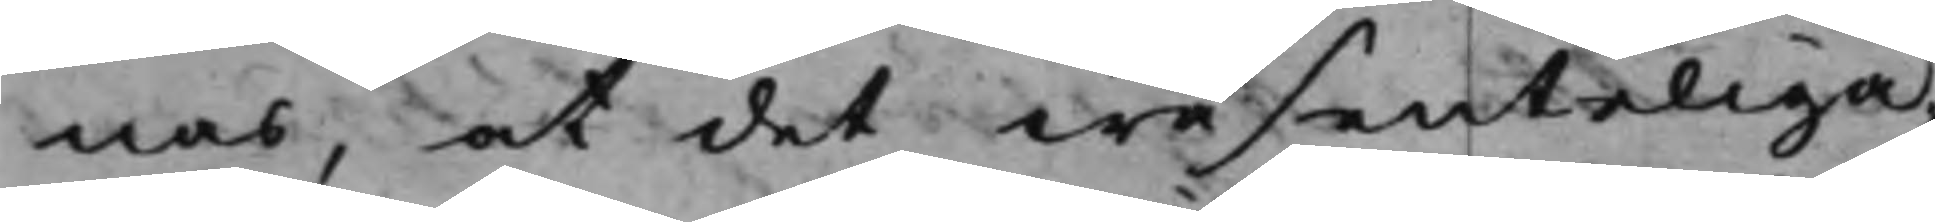nas, at det wäsenteliga¬¬
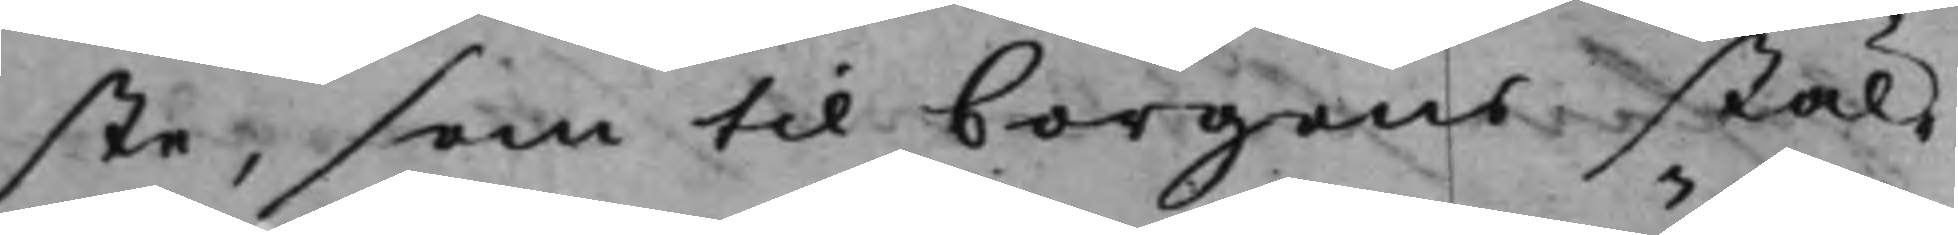ste, som till borgens stäl¬
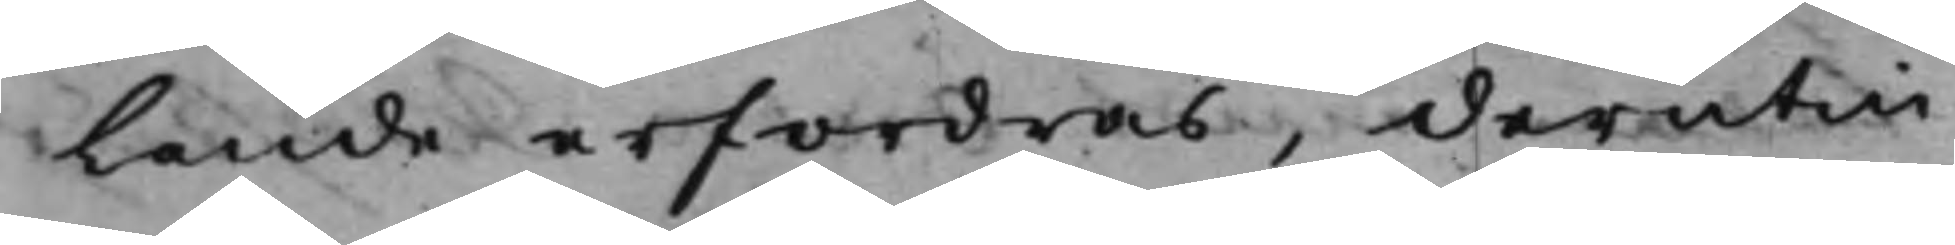Lande erfordras, derutin¬
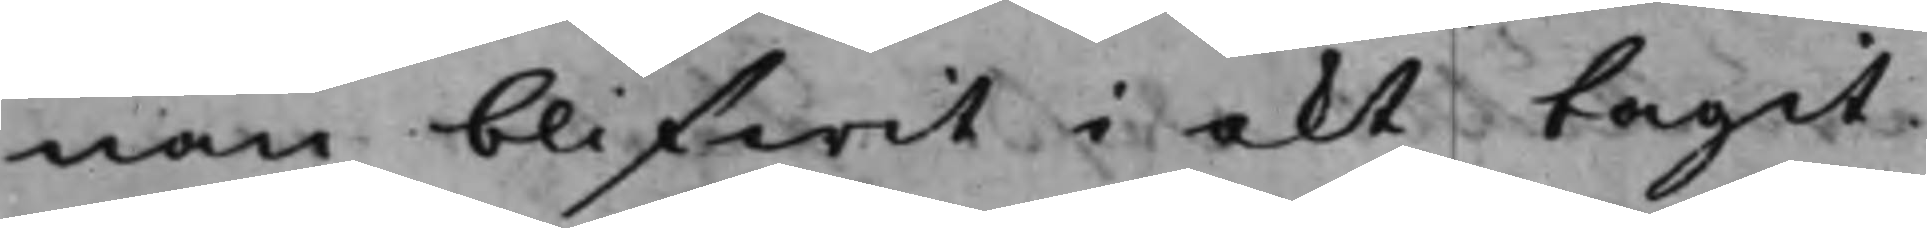nan blifwit i akt tagit.
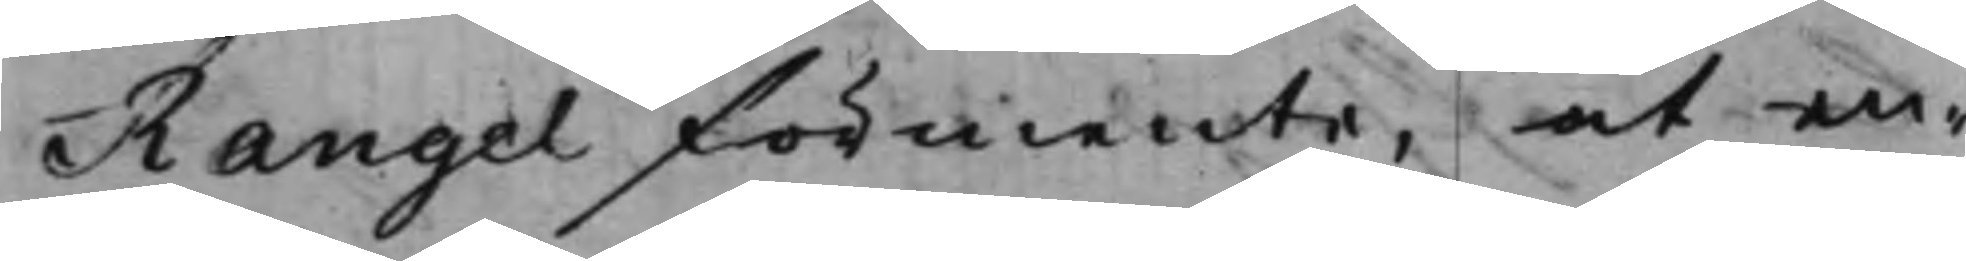Rangel förmente, at en¬
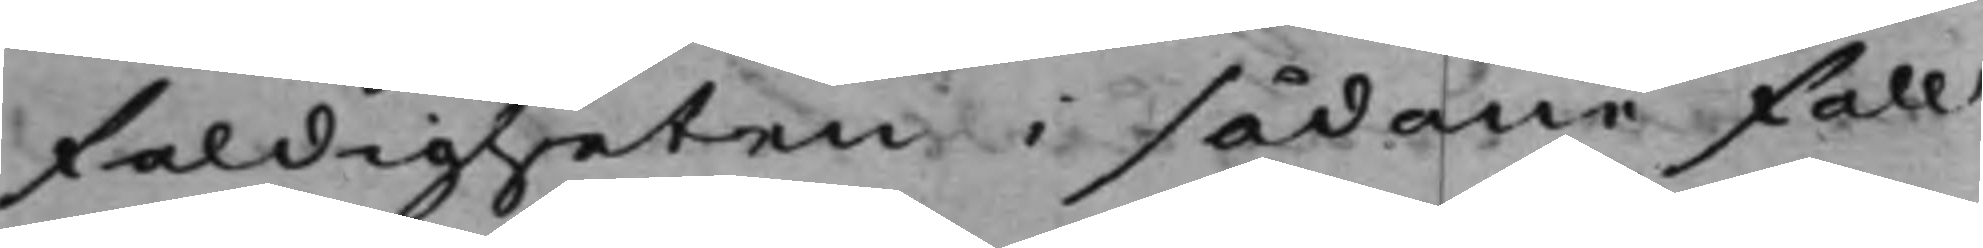faldigheten i sådane fall
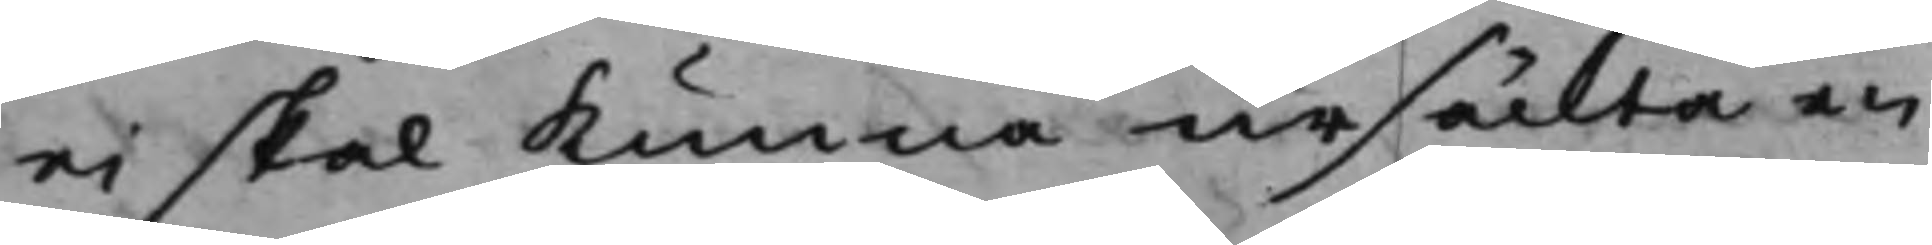ei skal kunna ursäckta en
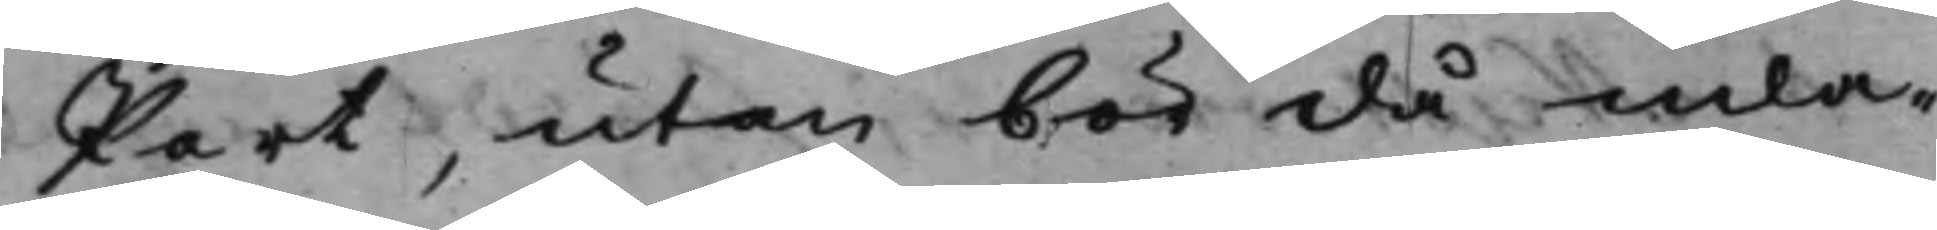Part, utan bör då inla¬
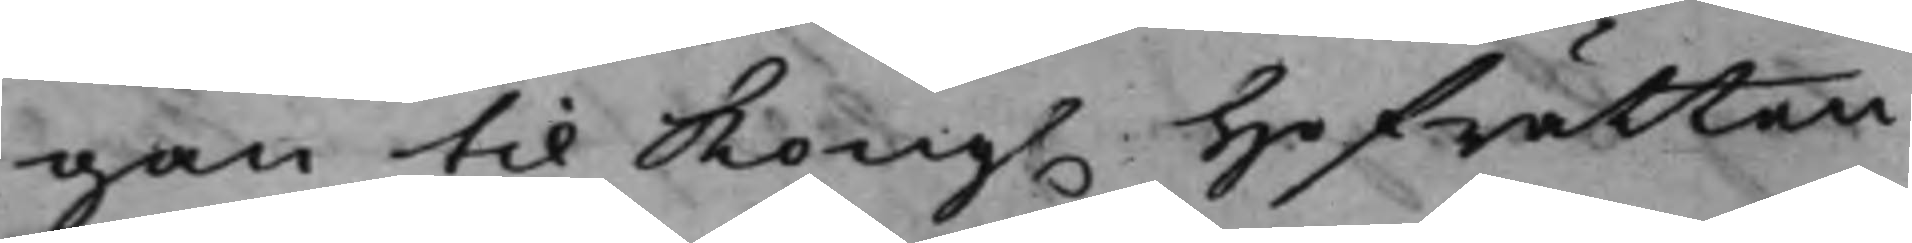gan til Kong. Hofrätten
